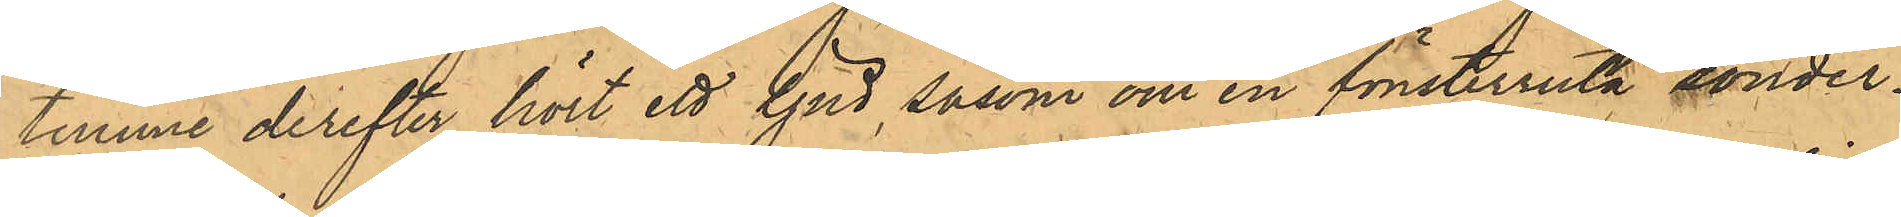timme derefter hört ett ljud, såsom om en fönsterruta sönder¬
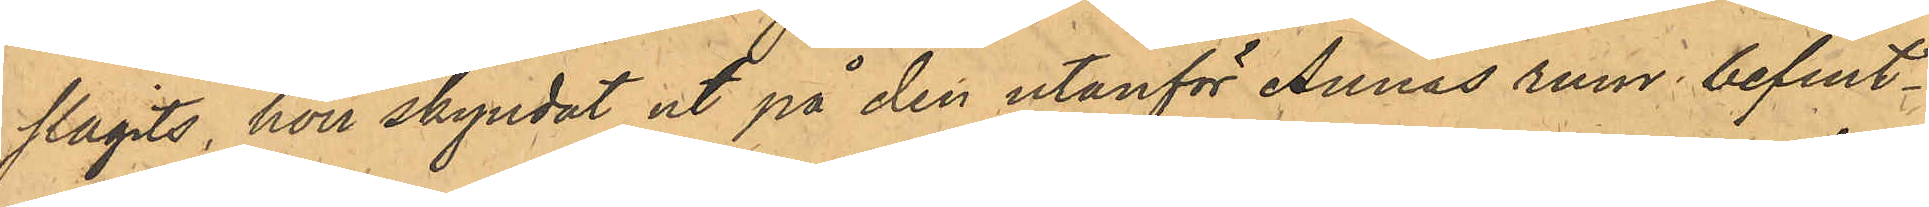slagits, hon skyndat ut på den utanför Annas rum befint¬
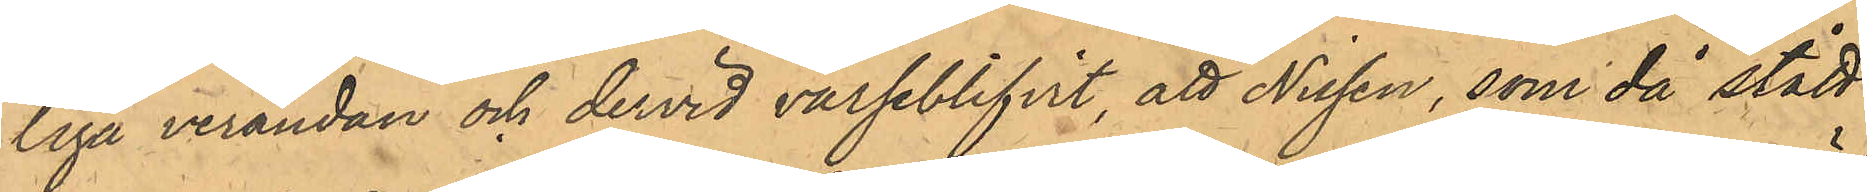liga verandan och dervid varseblifvit, att Nissen, som då stått
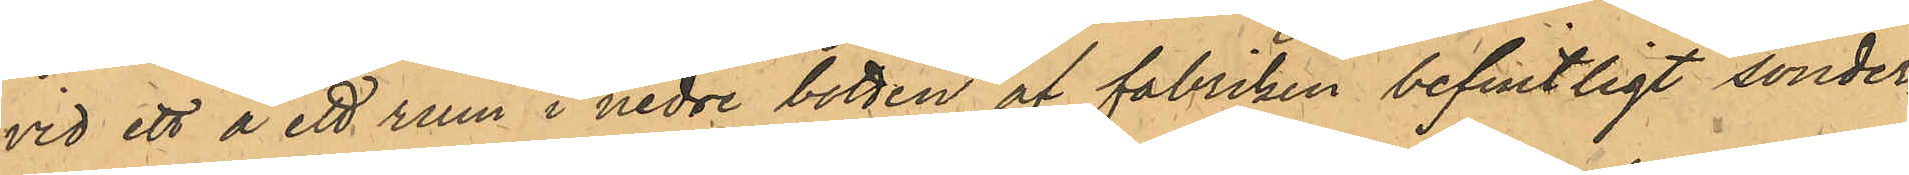vid ett å ett rum i nedre botten af fabriken befintligt sönder¬
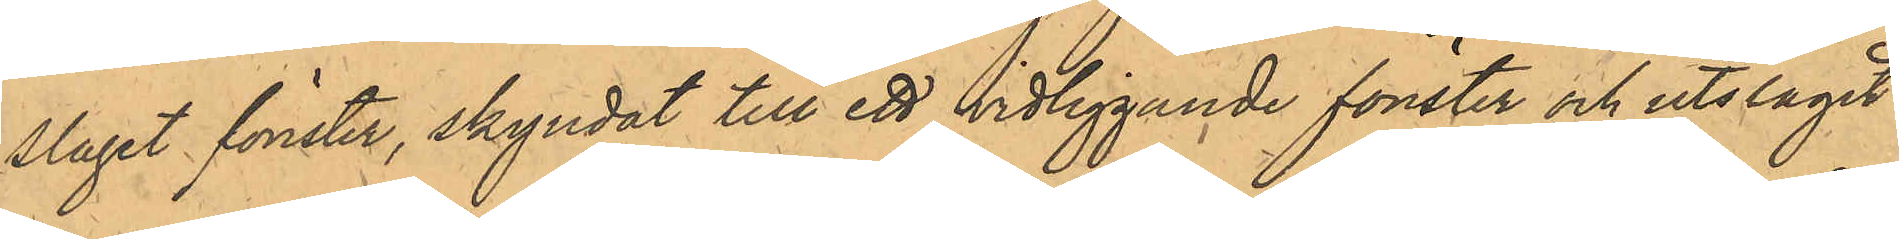slagit fönster, skyndat till ett vidliggande fönster och utslagit
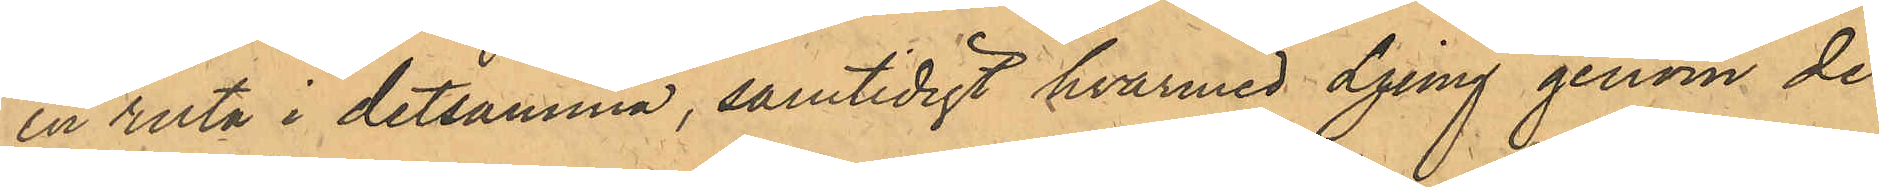en ruta i detsamma, samtidigt hvarmed Ljung genom de
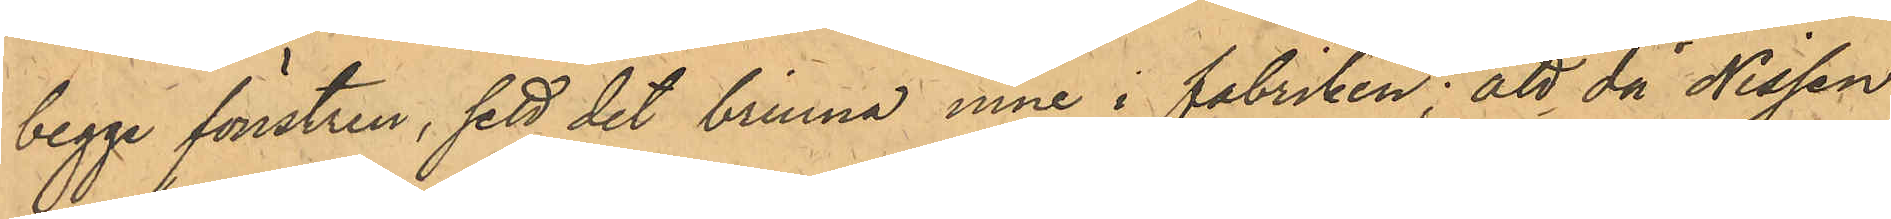begge fönstren, sett det brinna inne i fabriken; att då Nissen
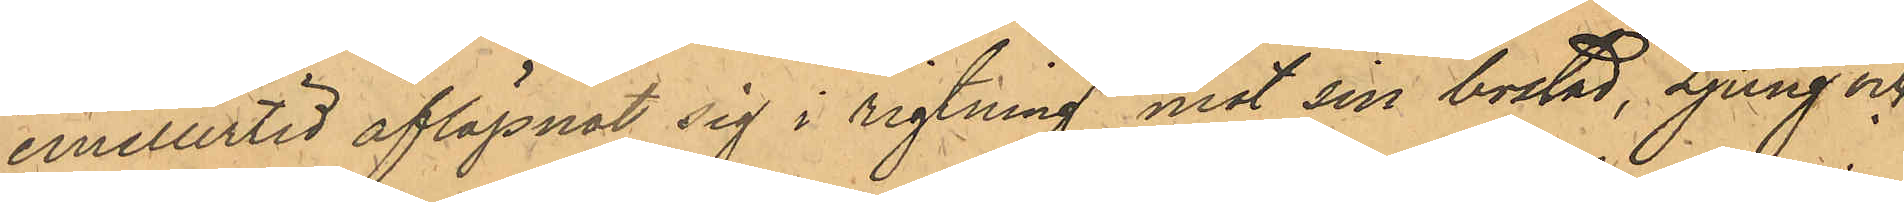emellertid aflägsnat sig i rigtning mot sin bostad, Ljung och
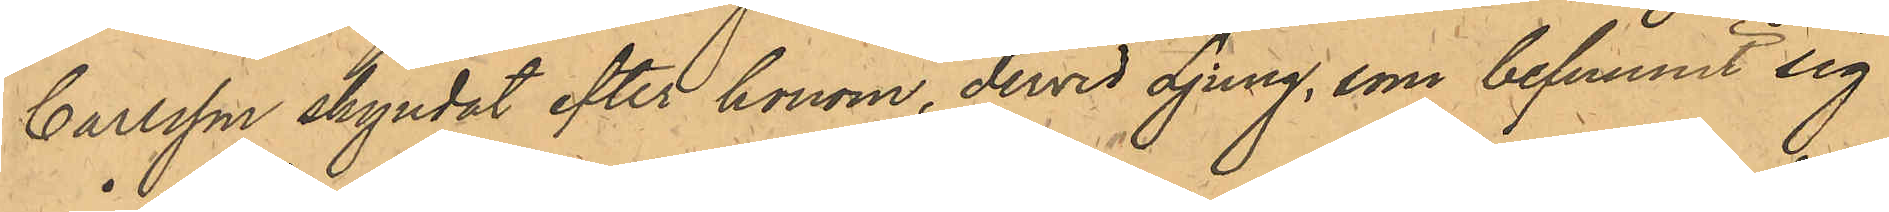Carlsson skyndat efter honom, dervid Ljung, som befunnit sig
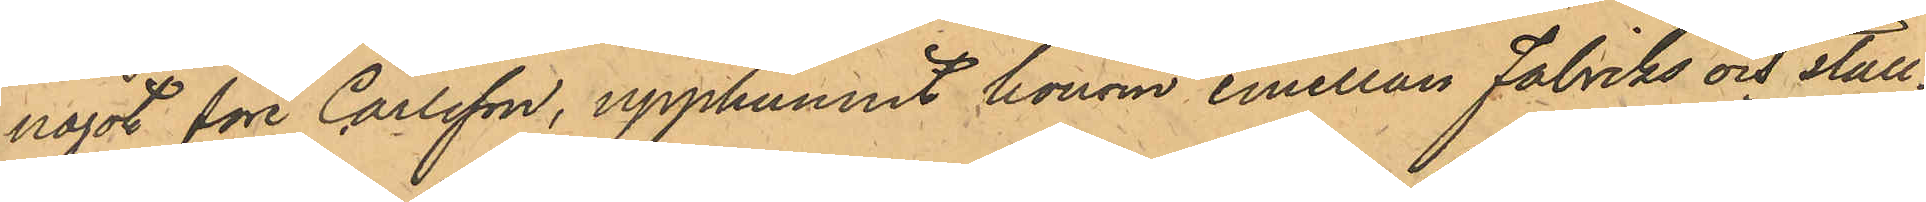något före Carlsson, upphunnit honom emellan Fabriks och stall¬
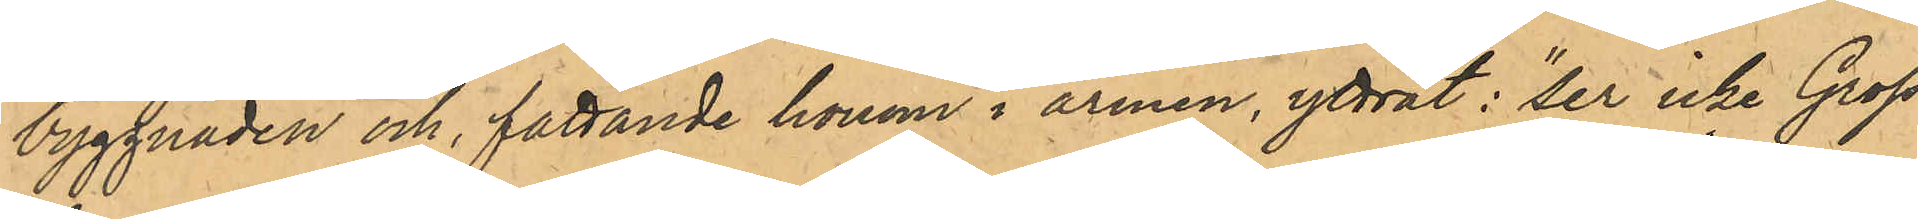byggnaden och, fattande honom i armen, yttrat: "ser icke Gross¬
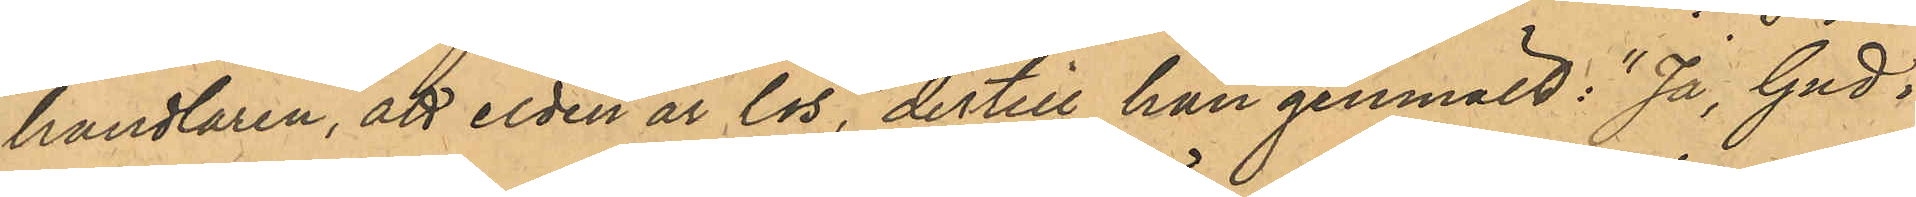handlaren, att elden är lös", dertill han genmält: "Ja, Gud i
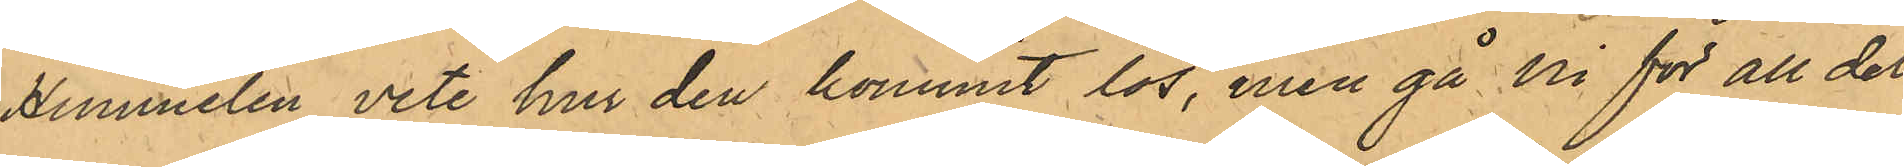Himmelen vete hur den kommit lös, men gå Ni för all del
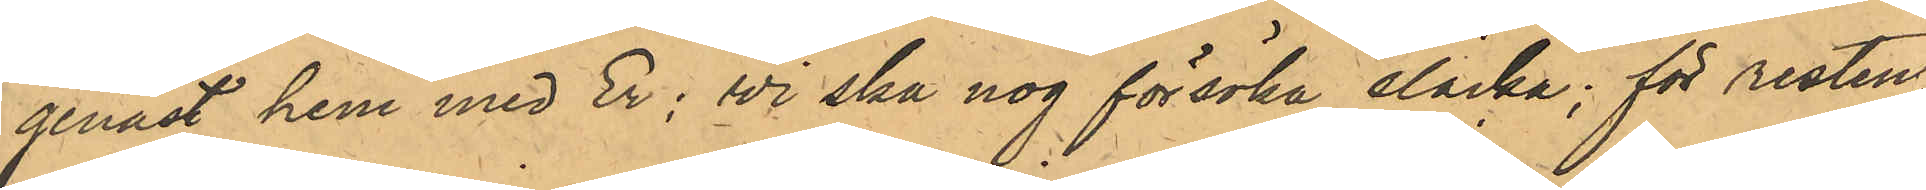genast hem med Er; vi ska nog försöka släcka; för resten,
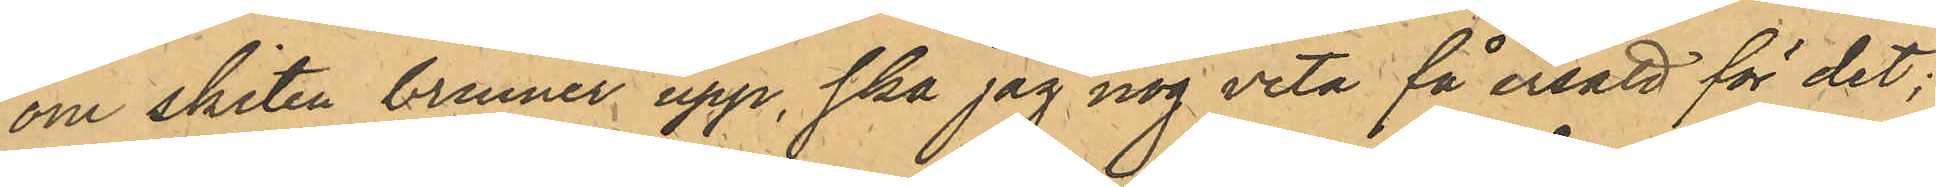om skiten brinner upp ska jag nog veta få ersatt för det;
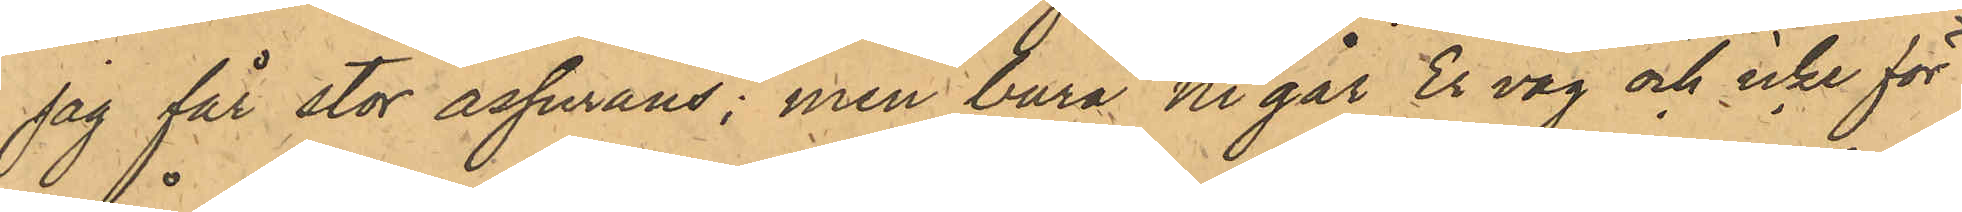jag får stor assurans; men bara Ni går Er väg och icke för
